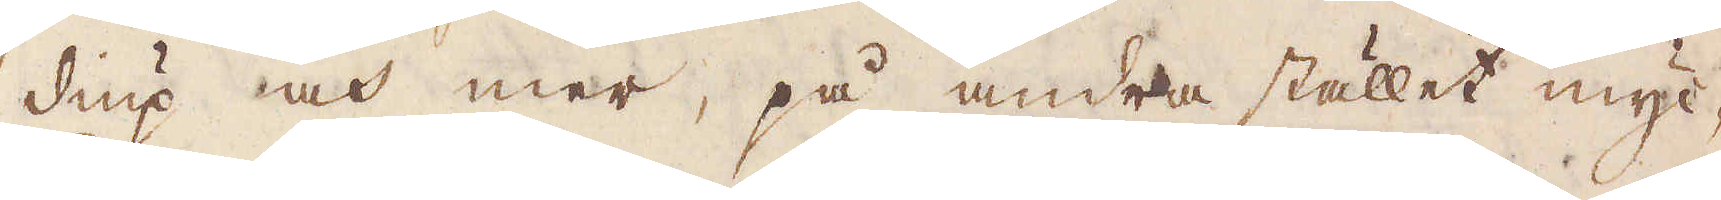diup och mer, på andra stället myc-
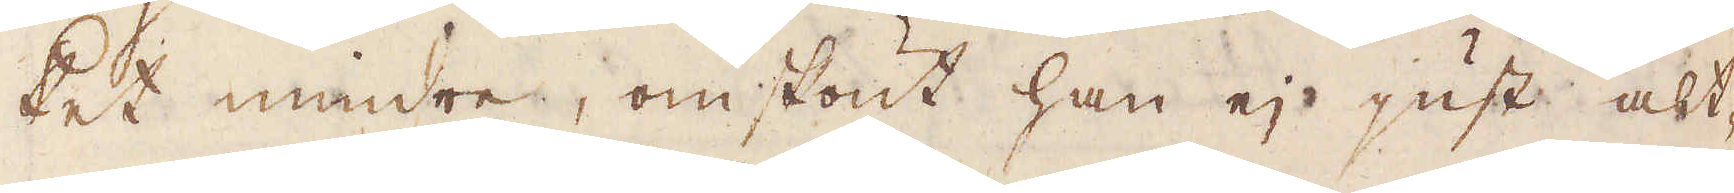ket mindre, omskönt han ej just alt-
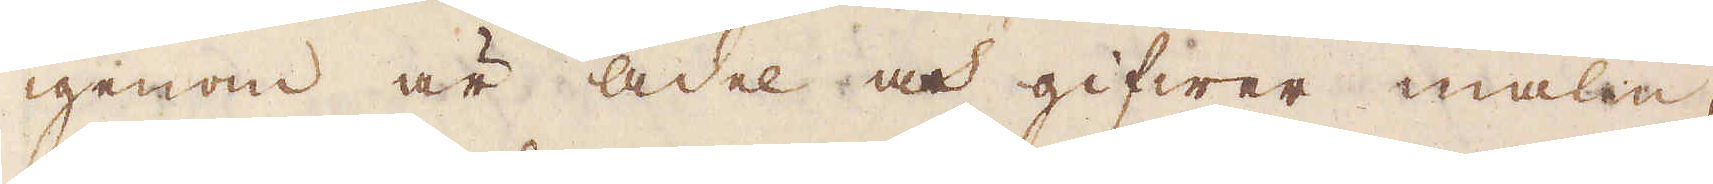igenom är ädel och gifwer malm,
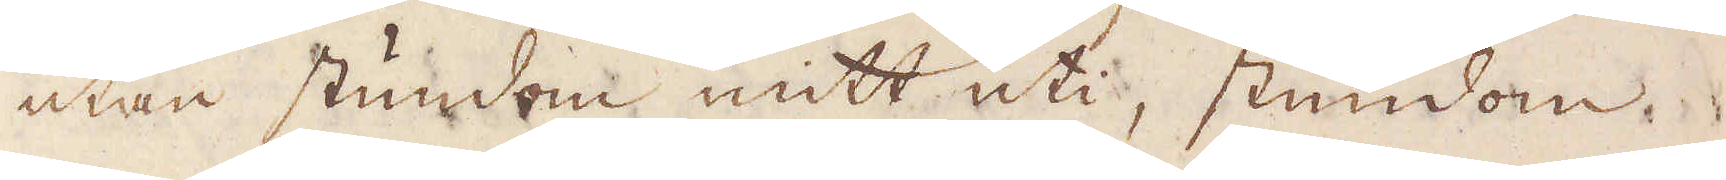utan stundom mitt uti, stundom
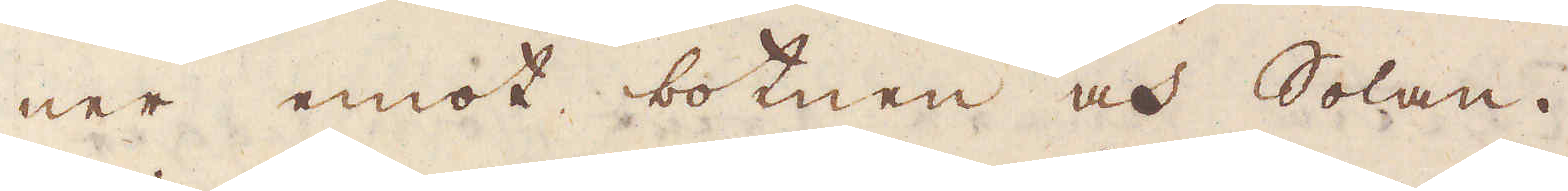ner emot botnen och Solan.
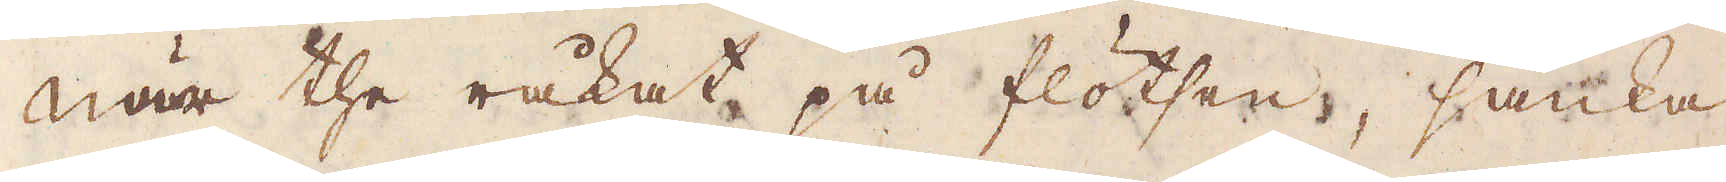När the råkat på flötsen, sänka
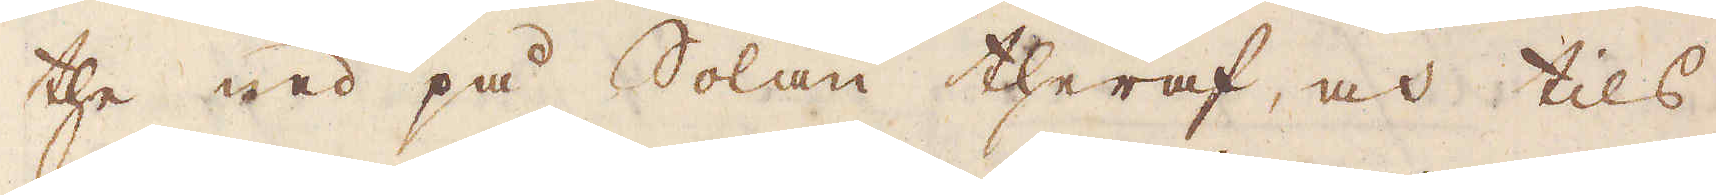the ned på Solan theraf, och tils
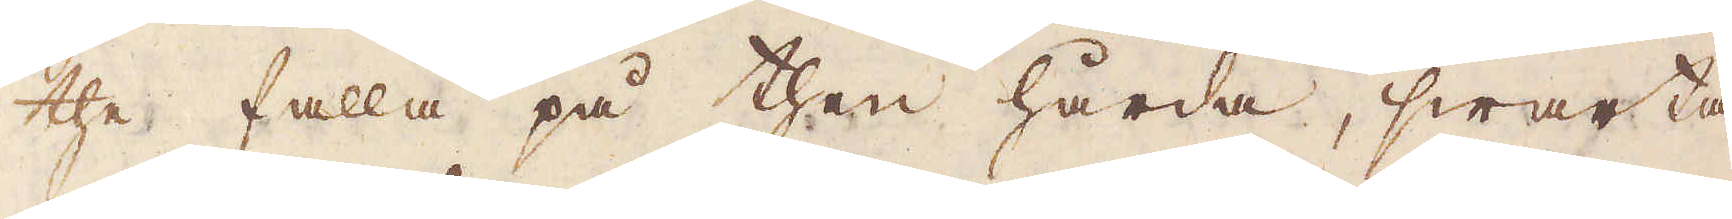the falla på then hårda, swarta
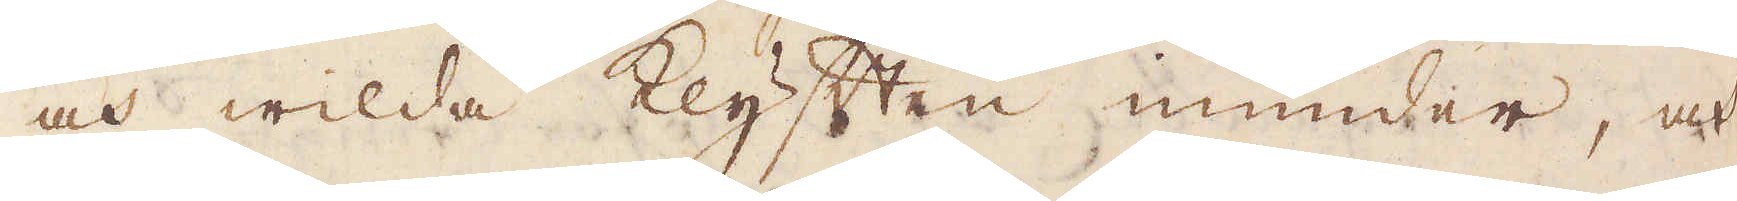och wilda klyften inunder, och
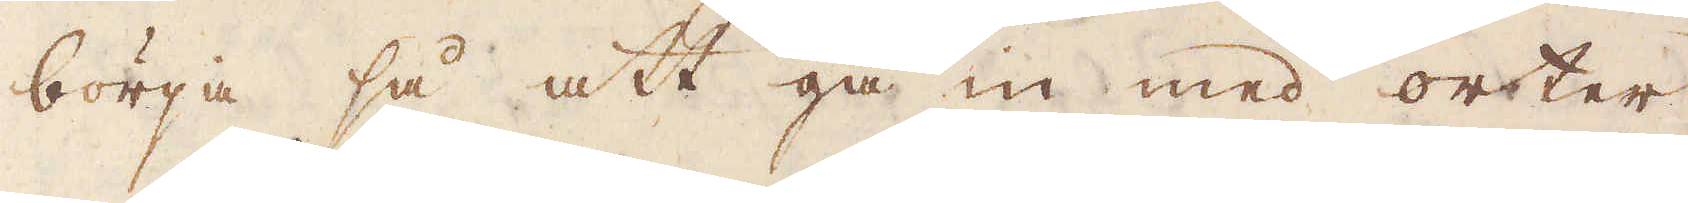börja så att gå in med orter
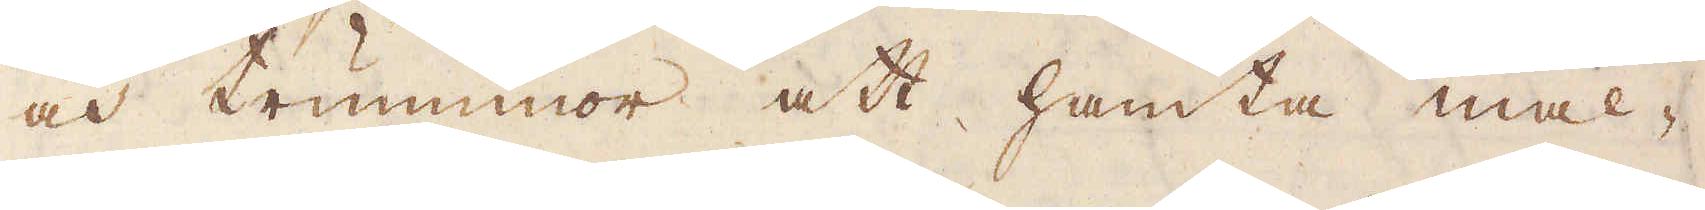och trummor att hämta mal-
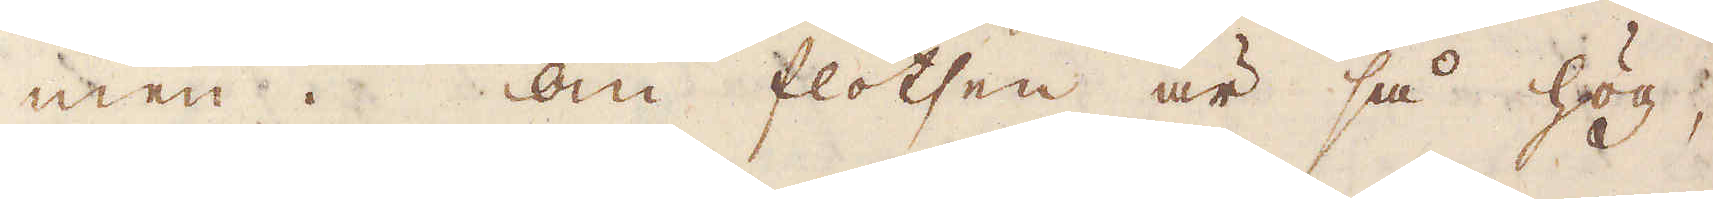men. Om flötsen är så hög,
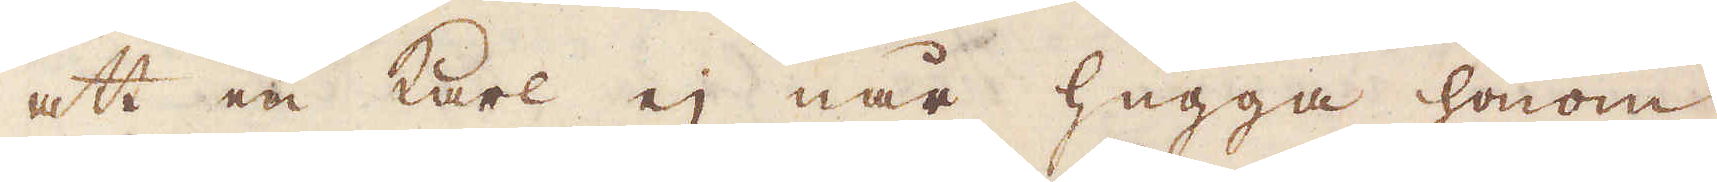att en karl ej når hugga honom
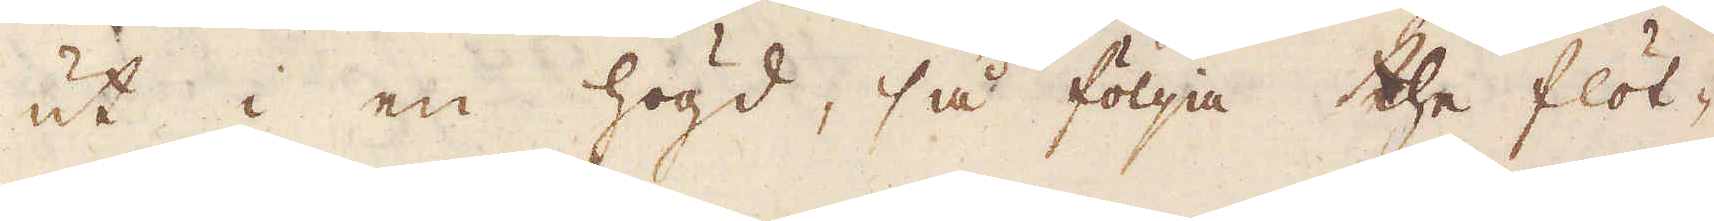ut i en högd, så följa the flöt-
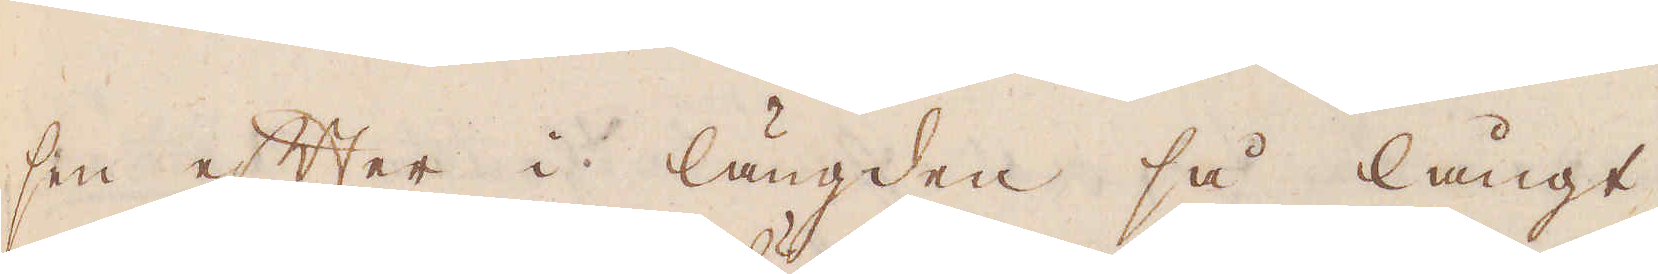sen efter i längden så långt
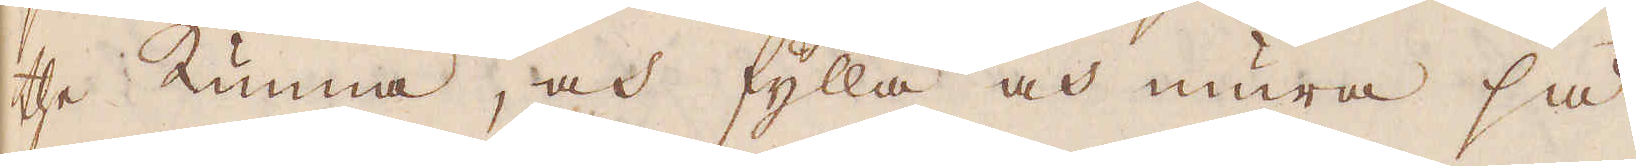the kunna, och fylla och mura så
